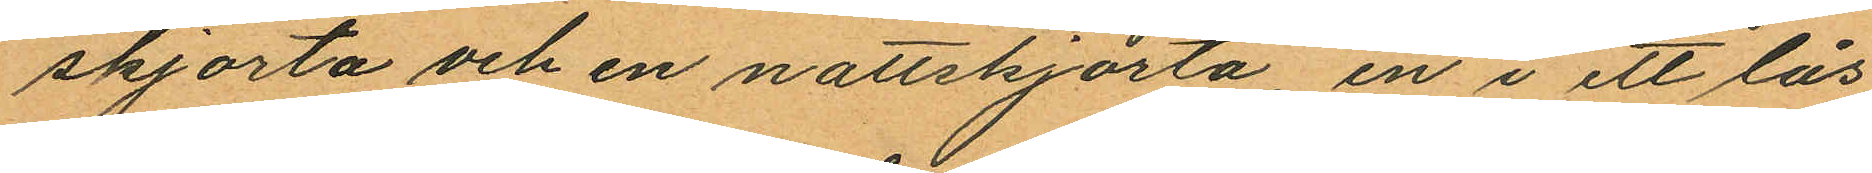skjorta och en nattskjorta en i ett lås
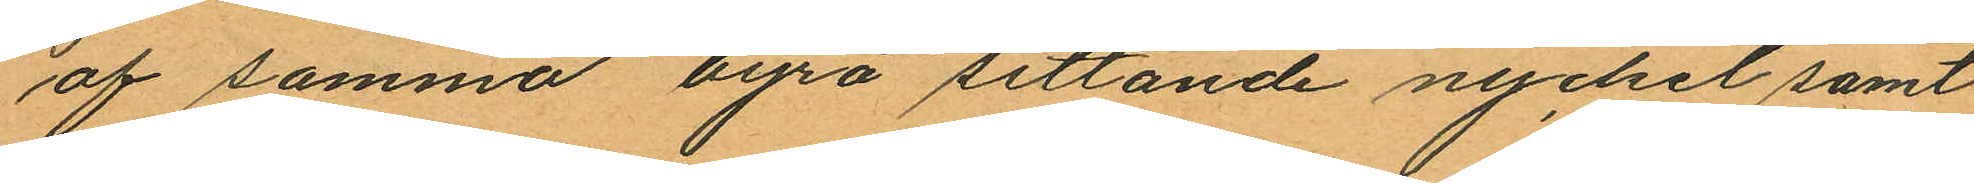af samma byrå sittande nyckel samt
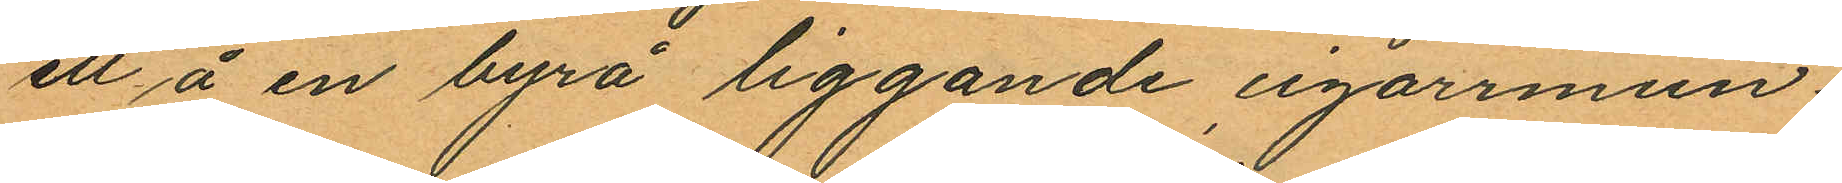ett å en byrå liggande cigarrmun¬
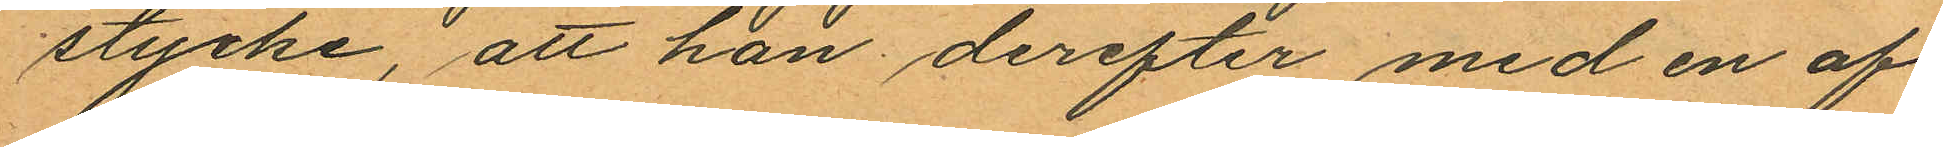stycke, att han derefter med en af
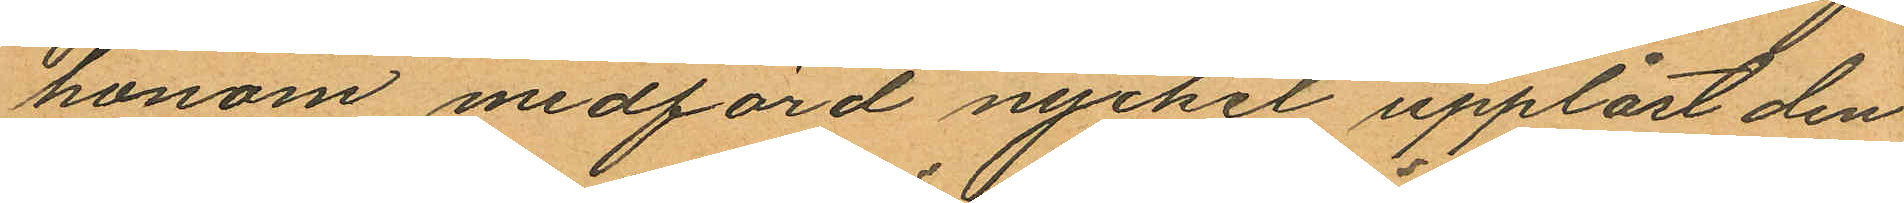honom medförd nyckel upplåst den
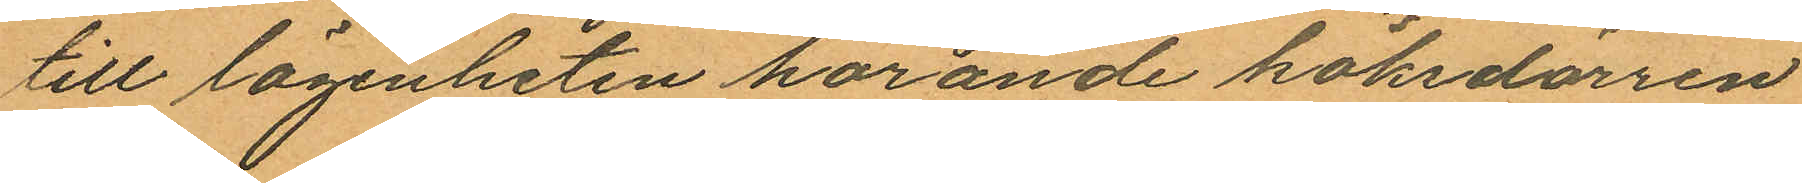till lägenheten hörande köksdörren
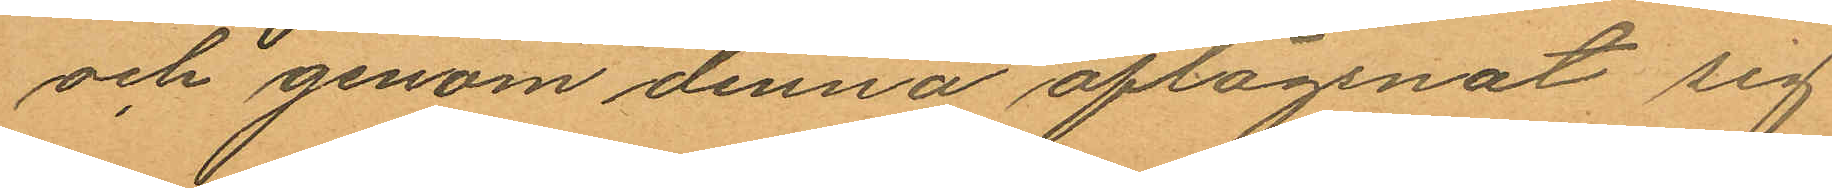och genom denna aflägsnat sig
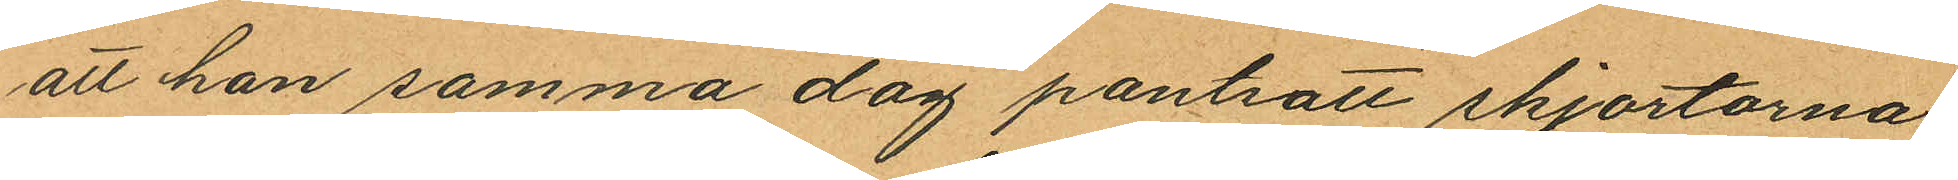att han samma dag pantsatt skjortorna
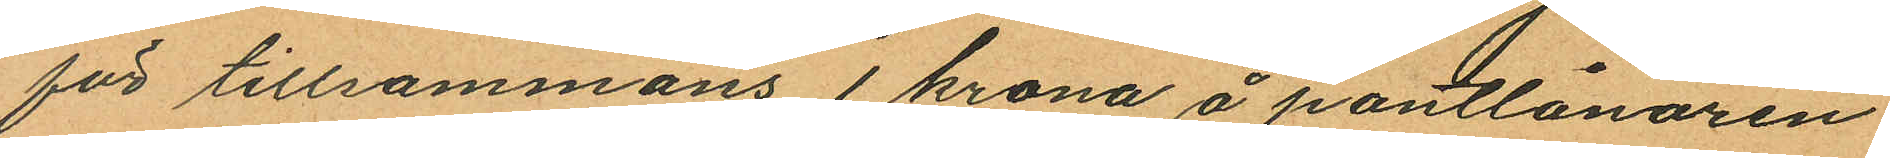för tillsammans 1 krona å pantlånaren
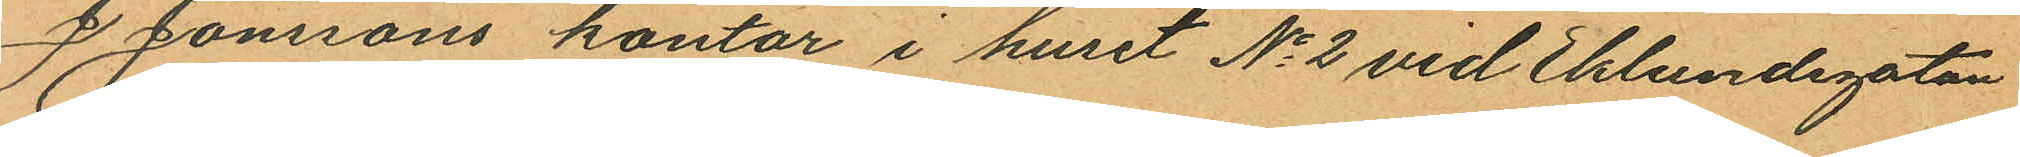J Jonssons kontor i huset No 2 vid Eklundsgatan
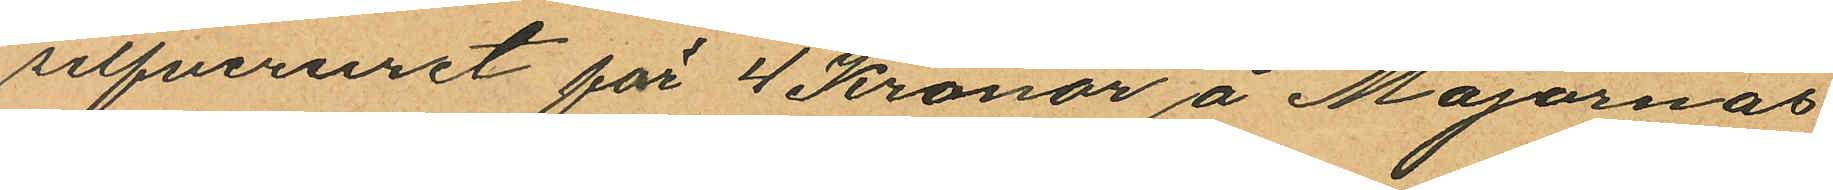silfveruret för 4 Kronor å Majornas
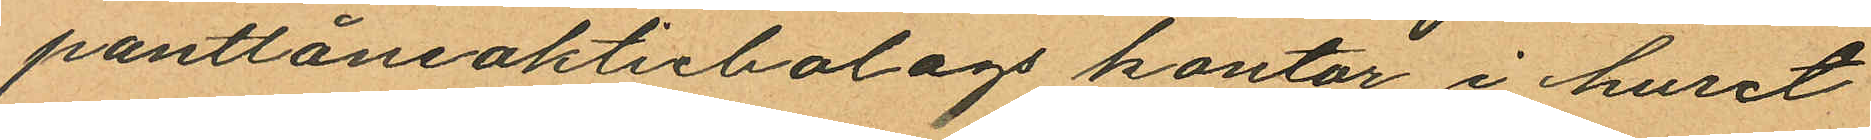pantlåneaktiebolags kontor i huset
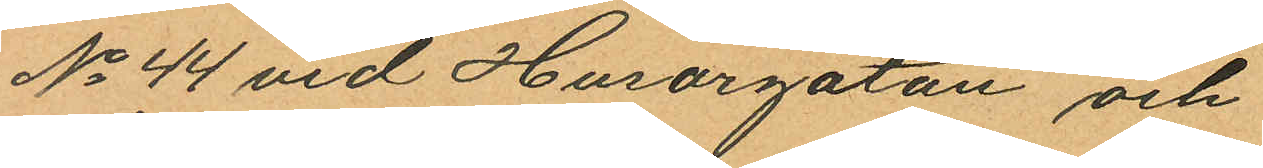No 44 vid Husargatan och
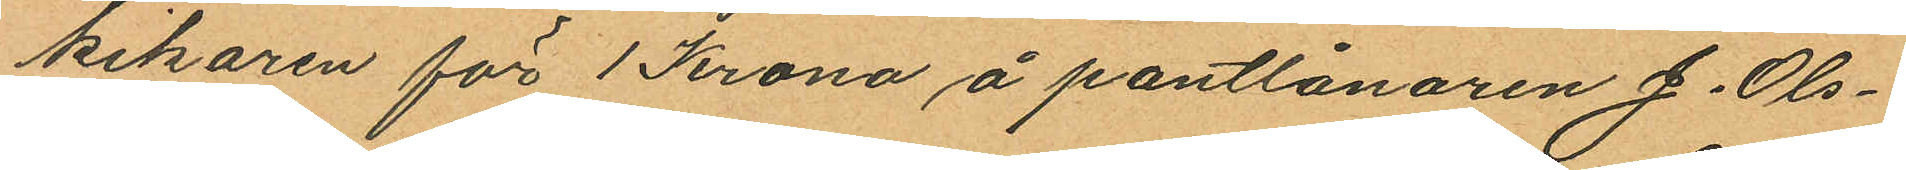kikaren för 1 Krona å pantlånaren J. Ols¬
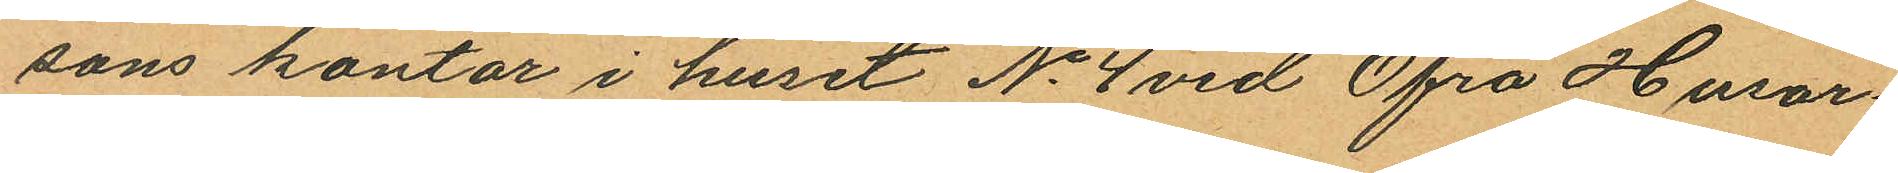sons kontor i huset No 4 vid Öfra Husar¬
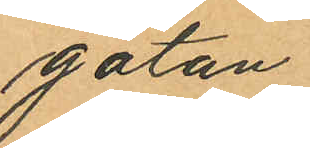gatan;
